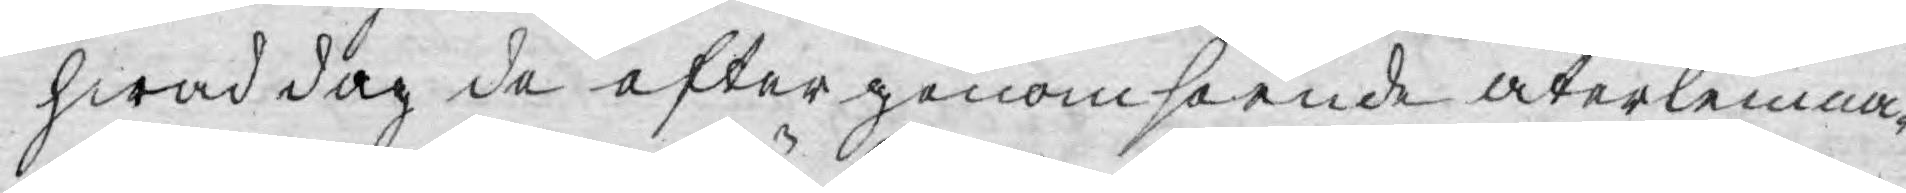hwad dag de efter genomseende återlemna¬
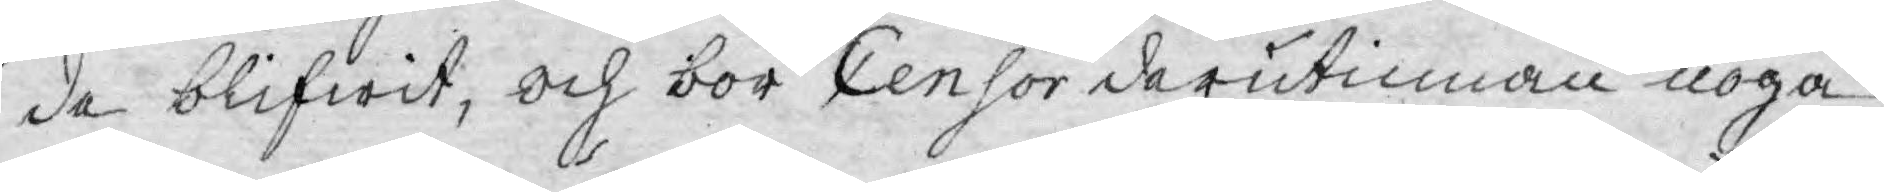de blifwit, och bör Censor derutinnan noga
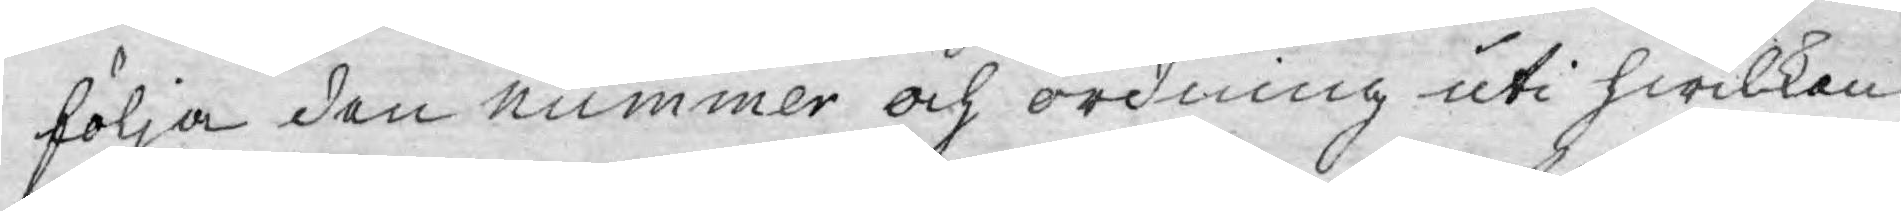följa den nummer och ordning uti hwilken
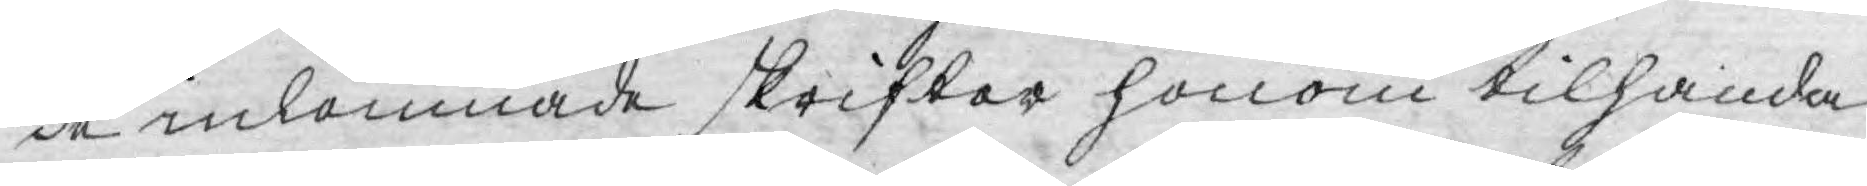de inlemnade skrifter honom tilhanda
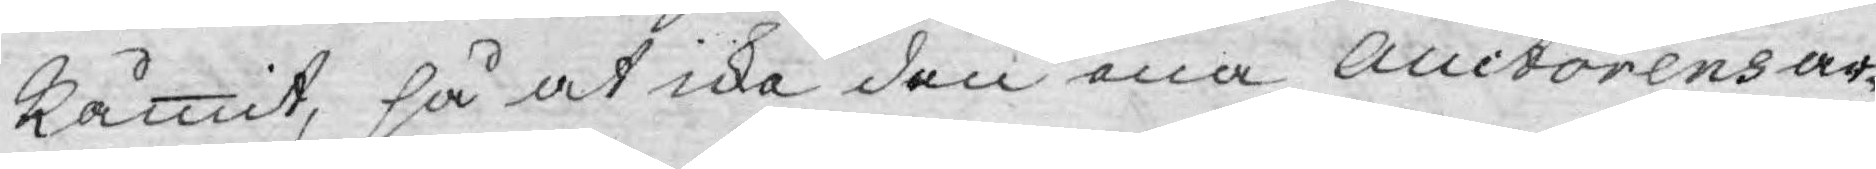kommit, så at icke den ena Auctorens ar¬
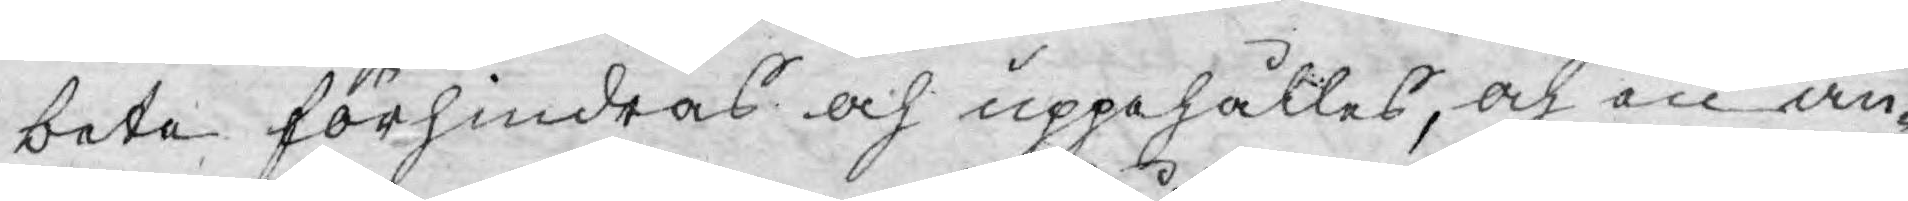bete förhindras och uppehålles, och en an¬
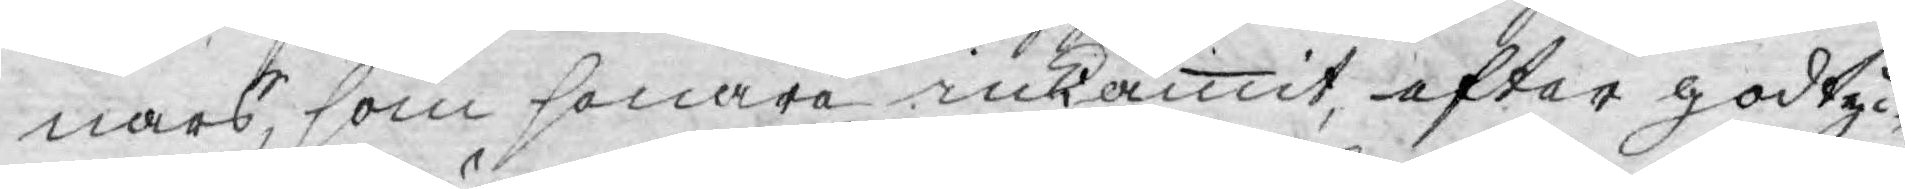nars, som senare inkommit efter godtyc¬
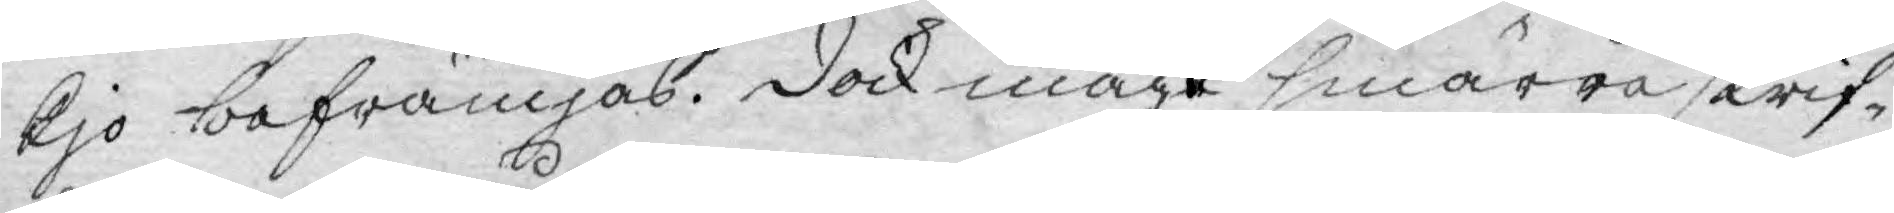kjo befrämjas. Dock måge smärre skrif¬
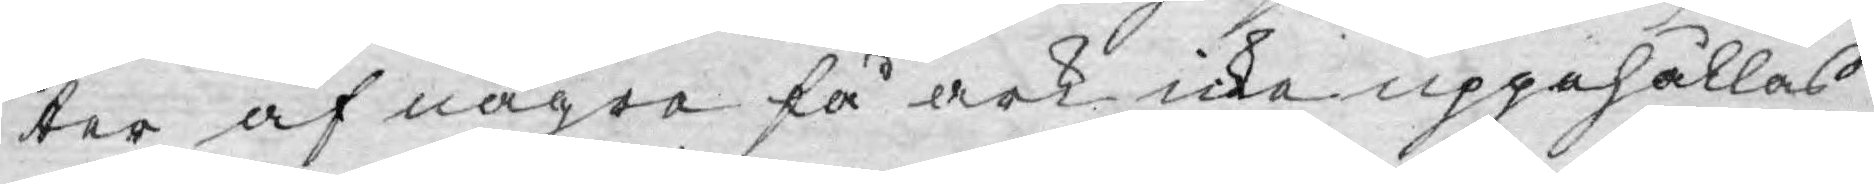ter af några få ark icke uppehållas
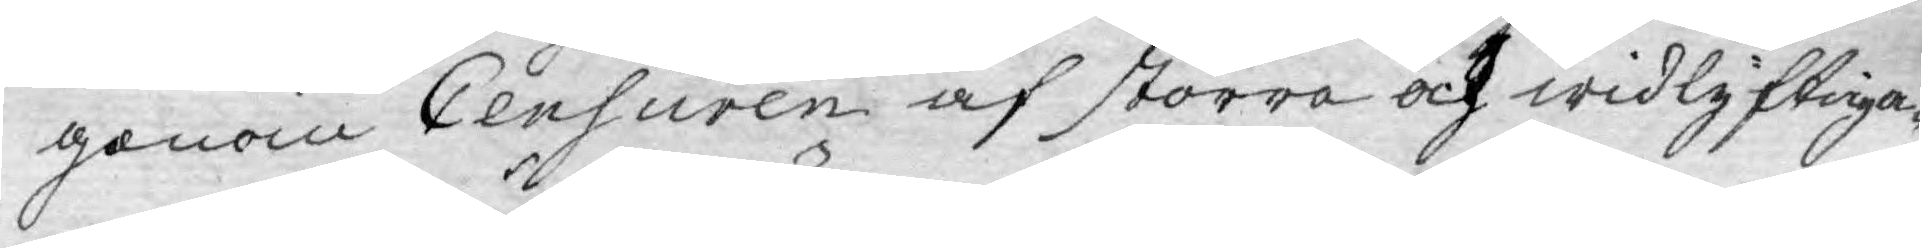genom Censuren af större och widlyftiga¬
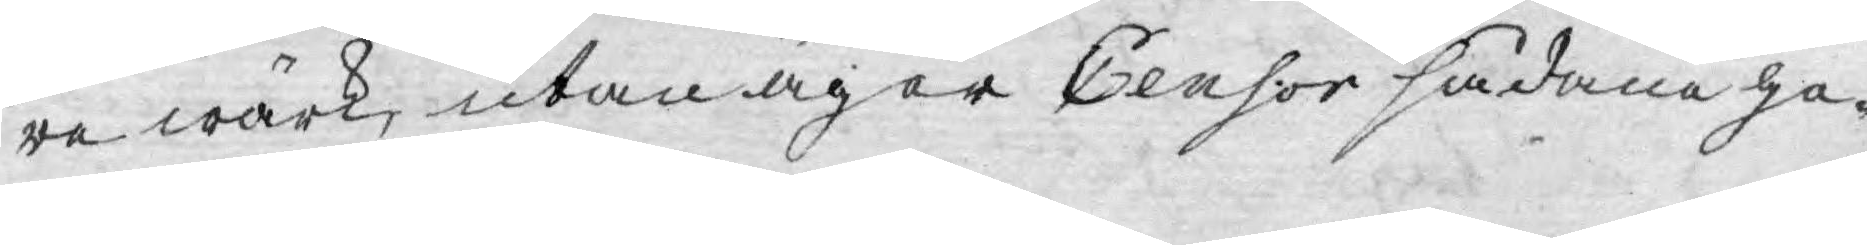re wärk, utan äger Censor sådana ge¬
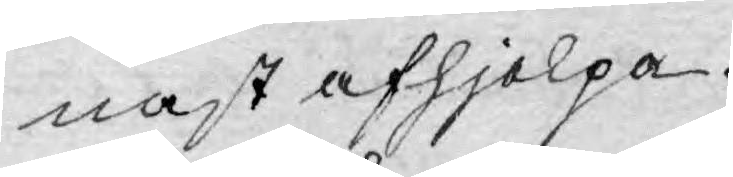nast afhjelpa.
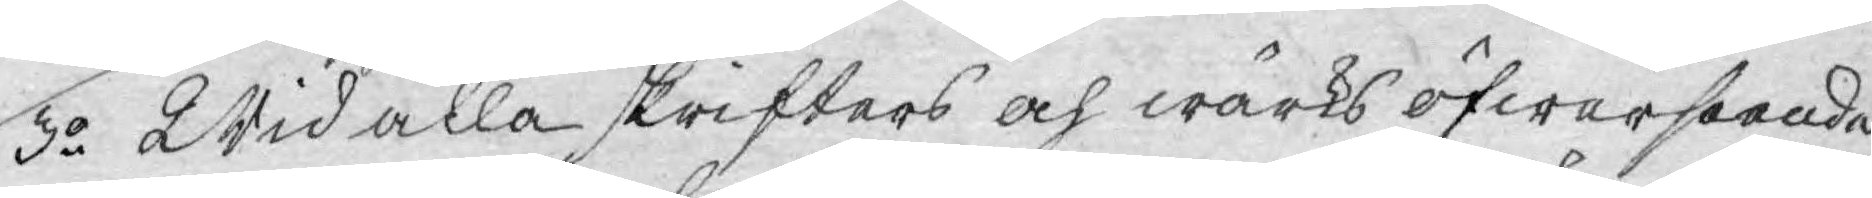3:o Wid alla skrifters och wärks öfwerseende
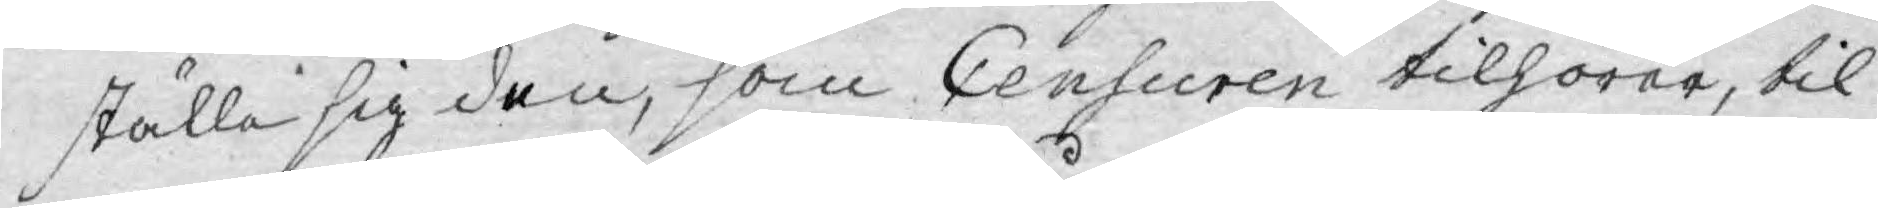ställa sig den, som Censuren tilhörer, til
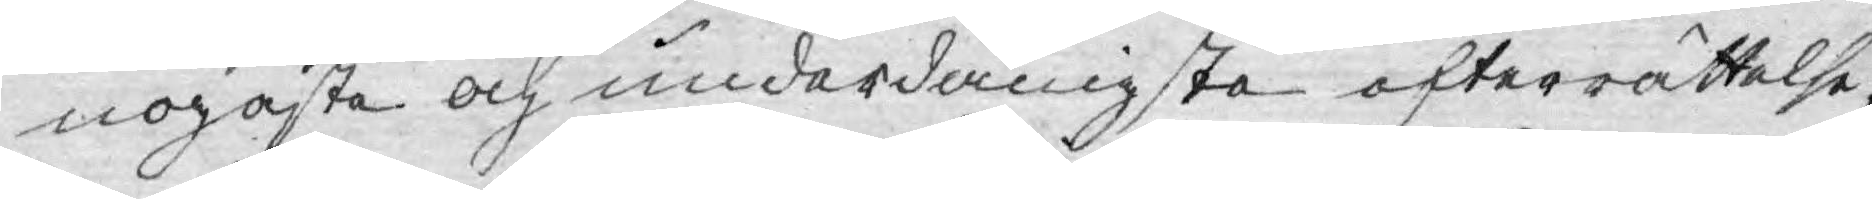nogaste och underdånigste efterrättelse,
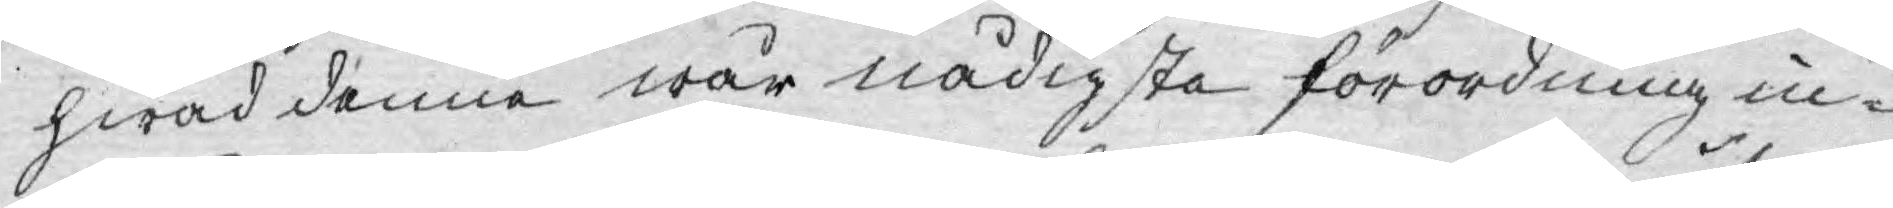hwad denne wår nådigste förordning in¬
